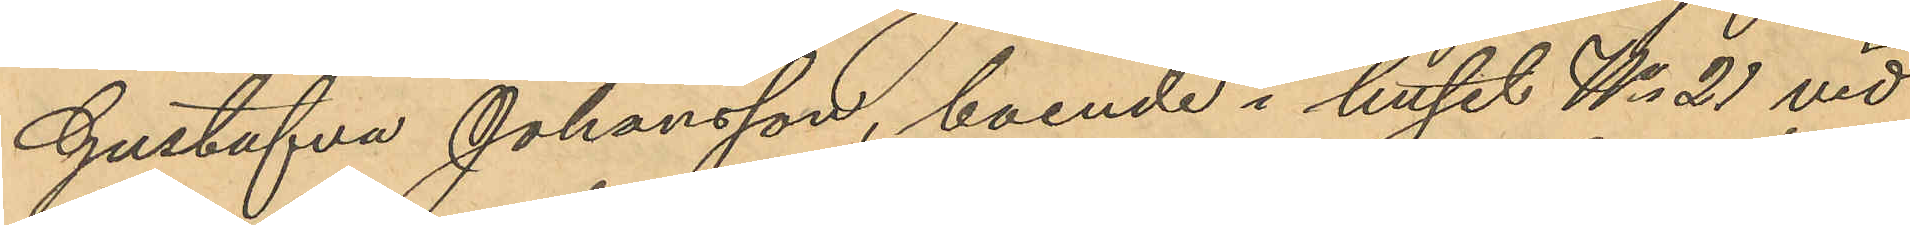Gustafva Johansson, boende i huset No 21 vid
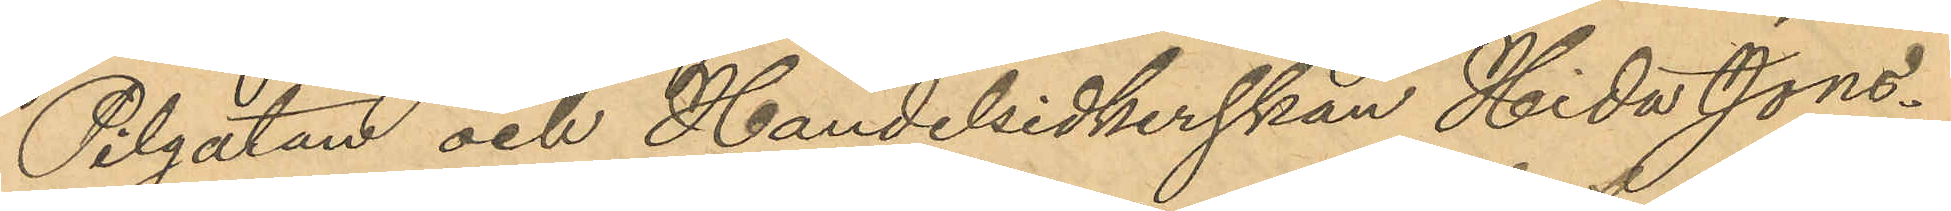Pilgatan och Handelsidkerskan Hida Jons¬
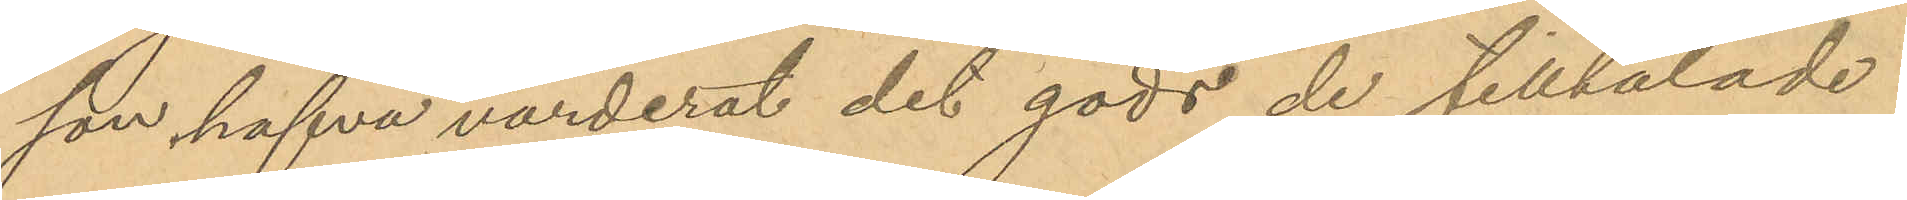son hafva värderat det gods de tilltalade
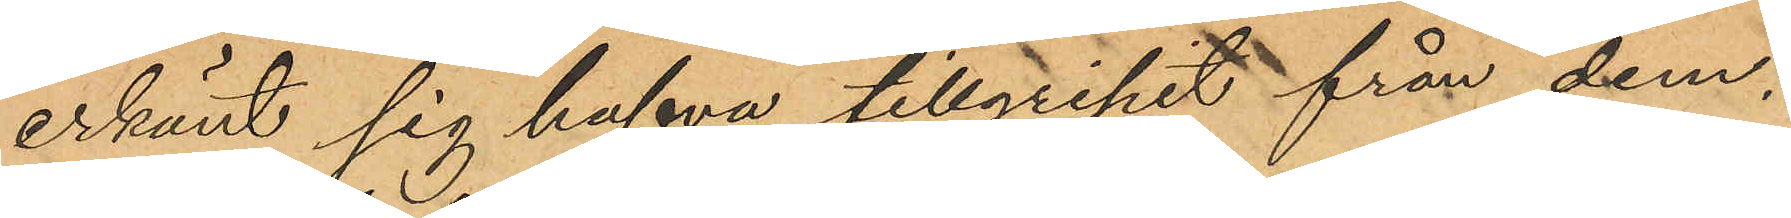erkänt sig hafva tillgripit från dem,
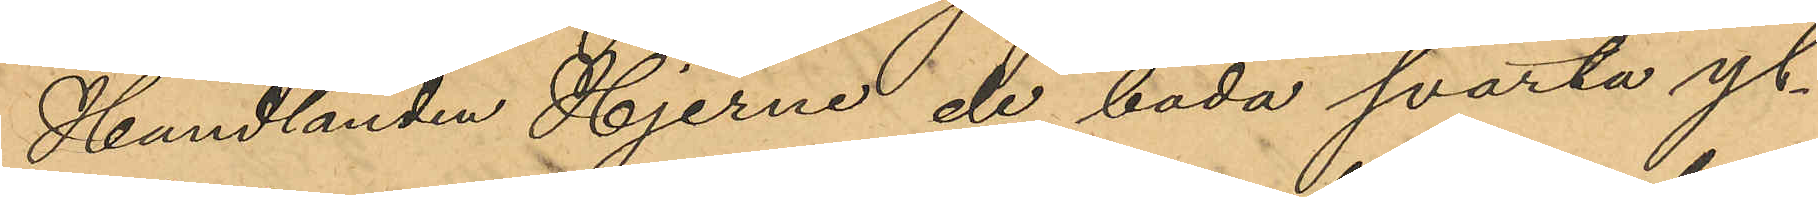Handlanden Hjerne de båda svarta yl¬
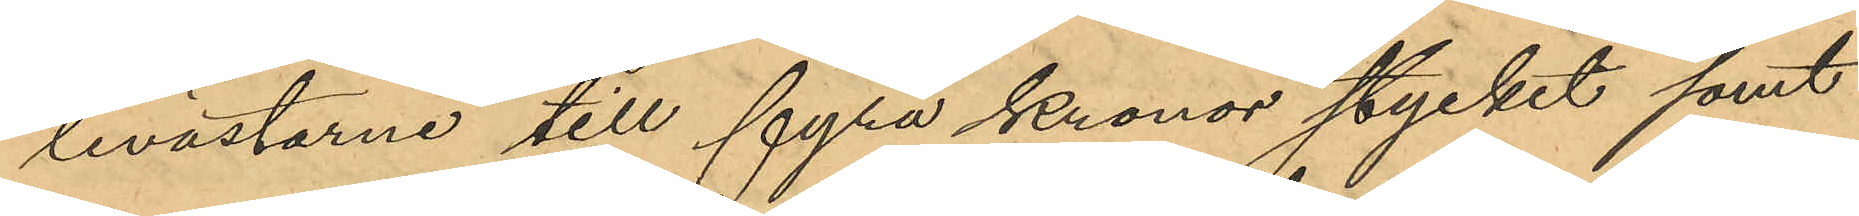levästarne till fyra Kronor stycket samt
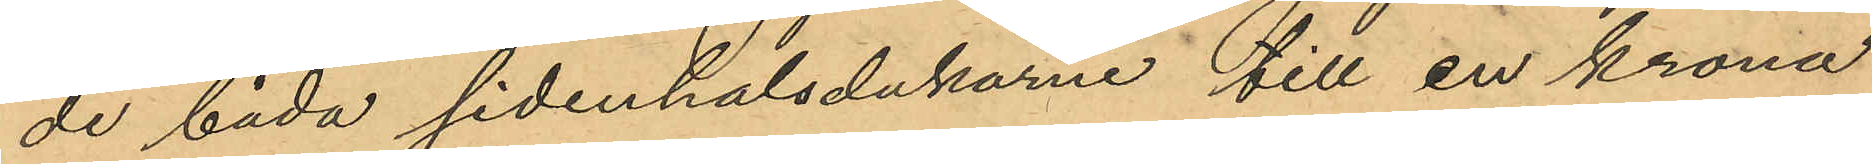de båda sidenhalsdukarne till en krona
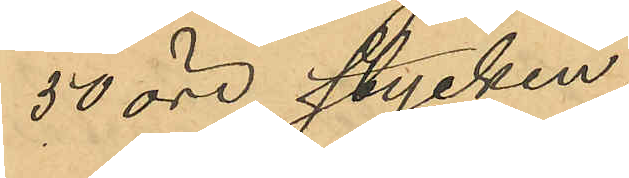50 öre stycken,
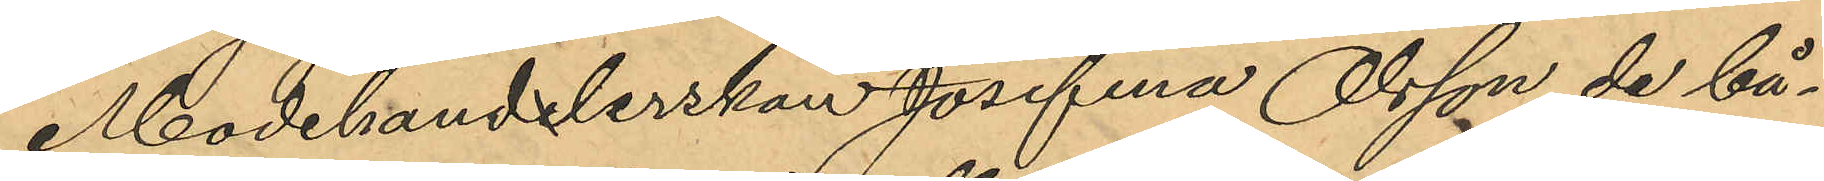Modehandlerskan Josefina Olsson de bå¬
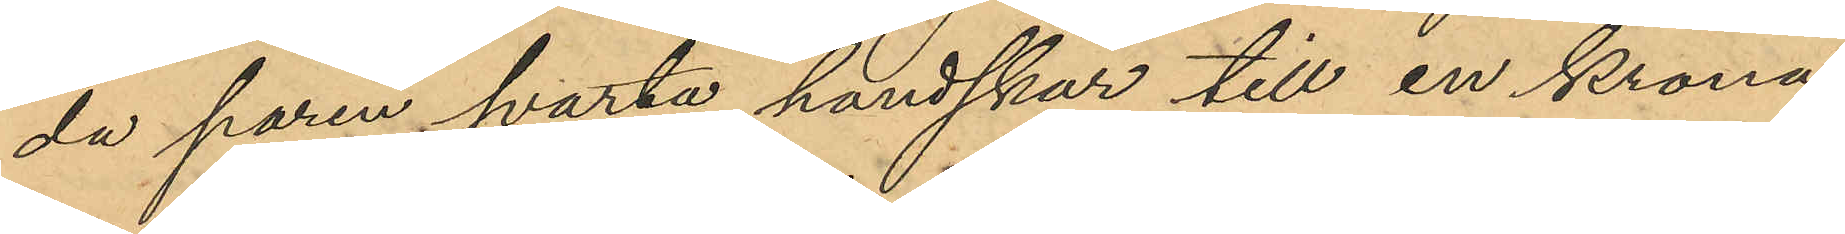da paren svarta handskar till en krona
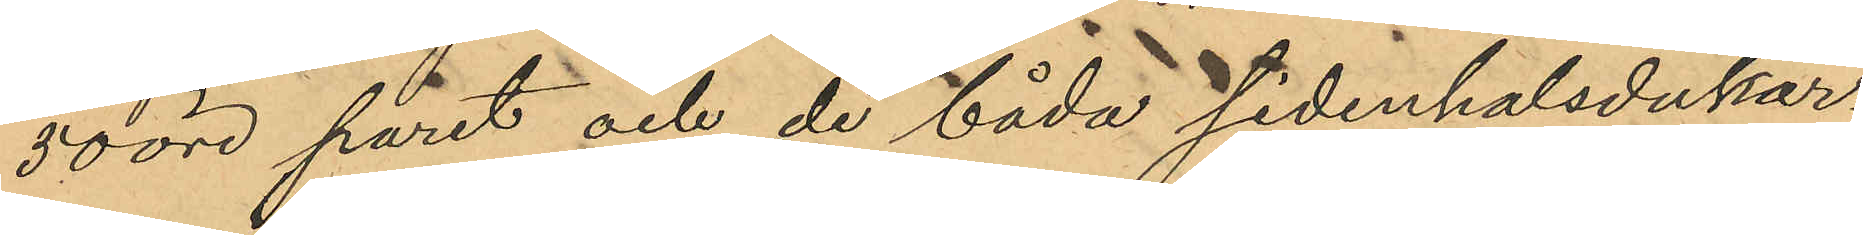50 öre paret och de båda sidenhalsdukar¬
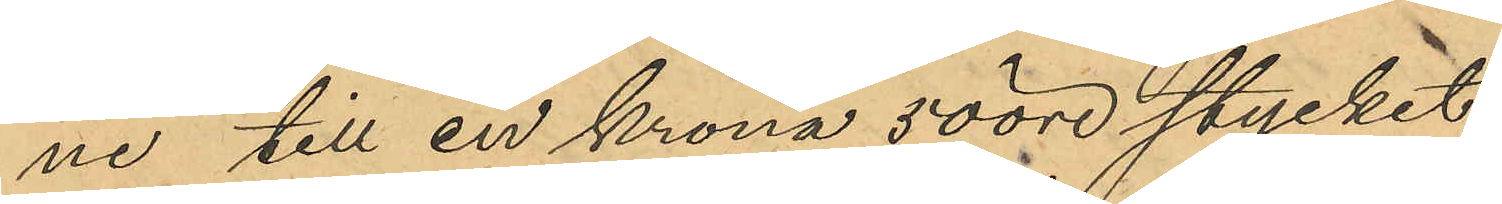ne till en krona 50 öre stycket;
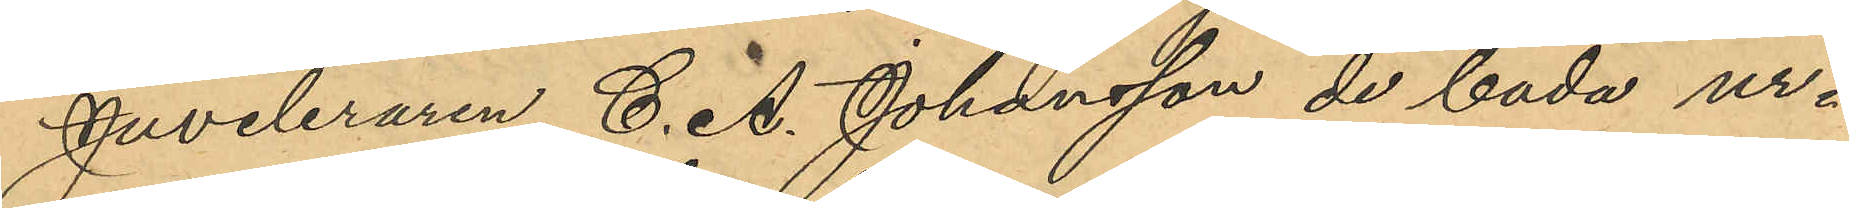Juveleraren C. A. Johansson de båda ur¬
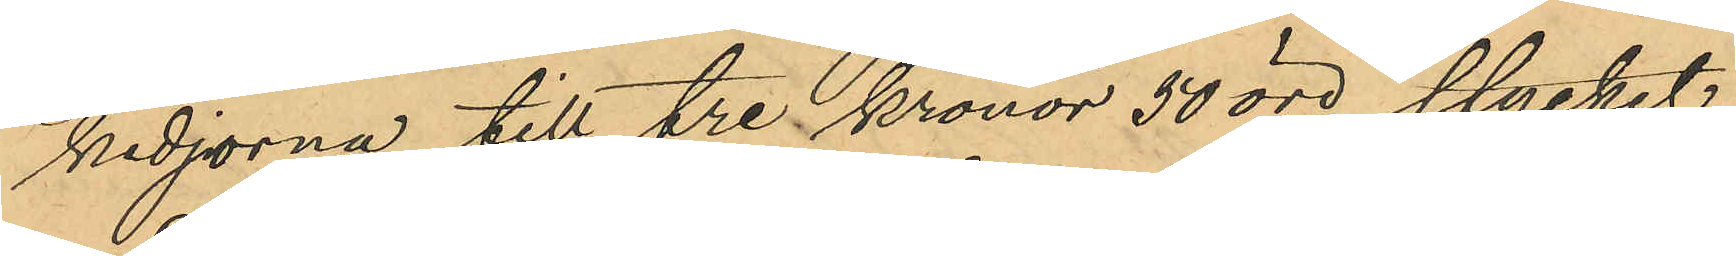kedjorna till tre kronor 50 öre stycket,
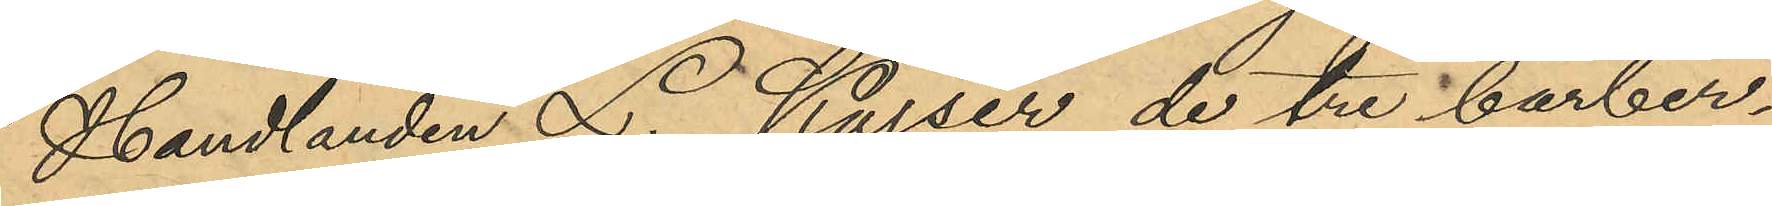Handlanden L. Kajser de tre barber¬
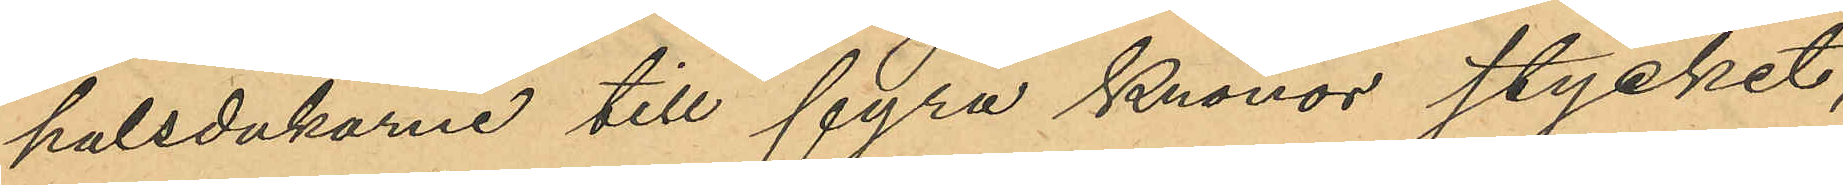halsdukarne till fyra Kronor stycket,
